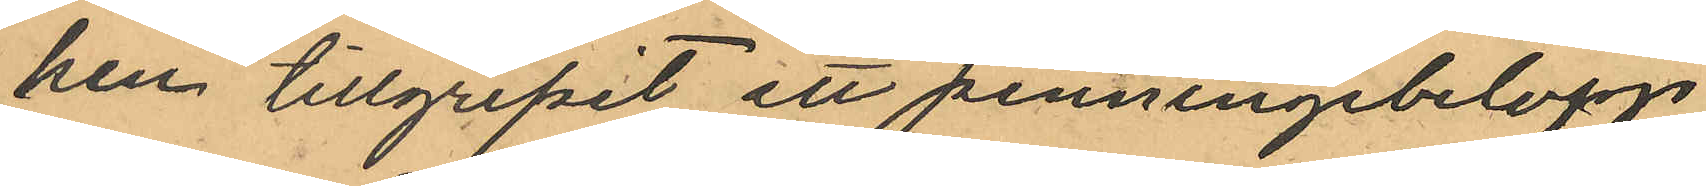ken tillgripit ett penningebelopp
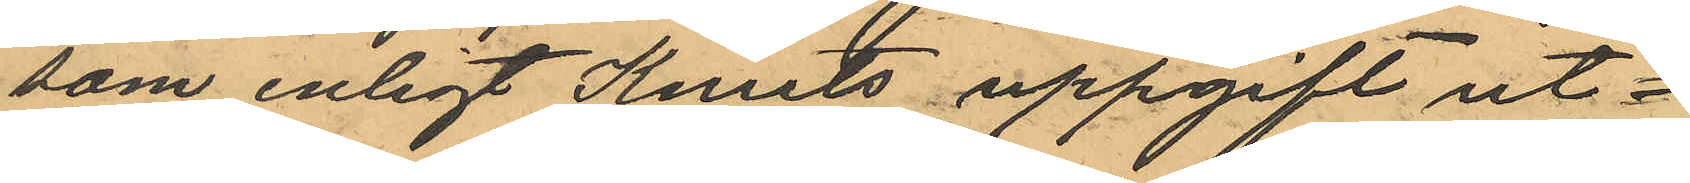som enligt Knuts uppgift ut¬
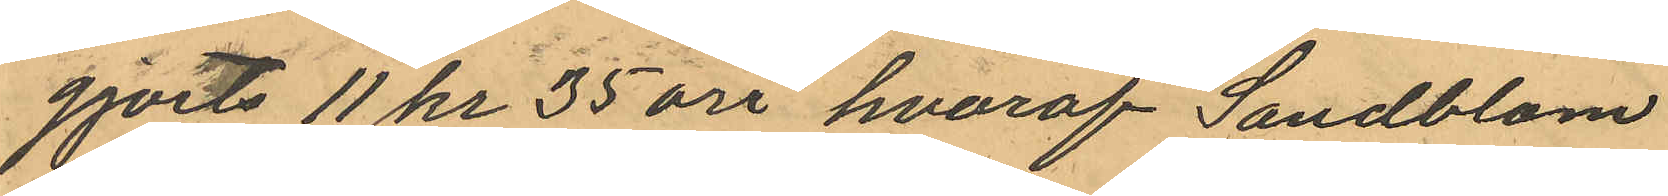gjorts 11 kr 35 öre, hvaraf Sandblom
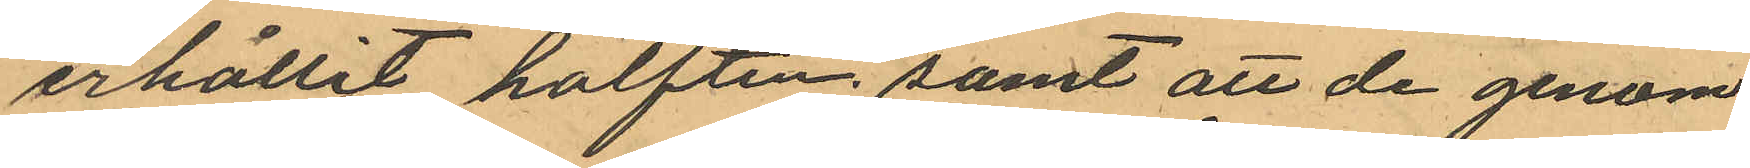erhållit hälften; samt att de genom
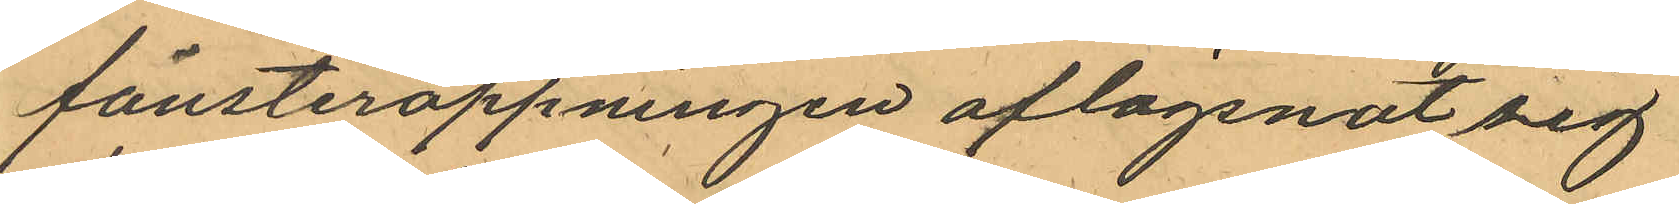fönsteröppningen aflägsnat sig
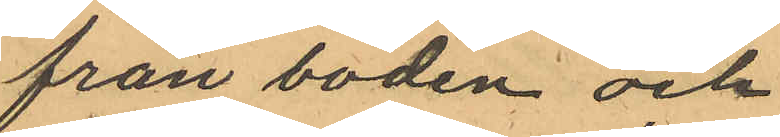från boden och
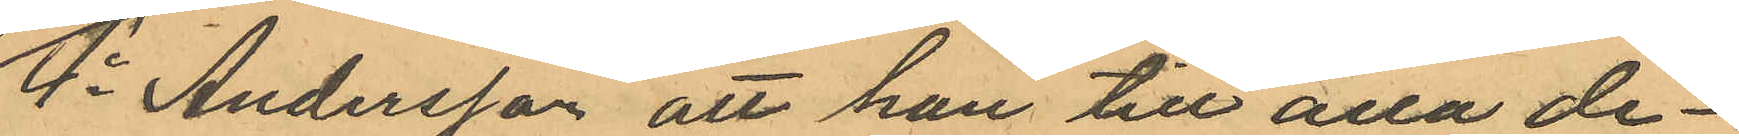4o Andersson att han till alla de¬
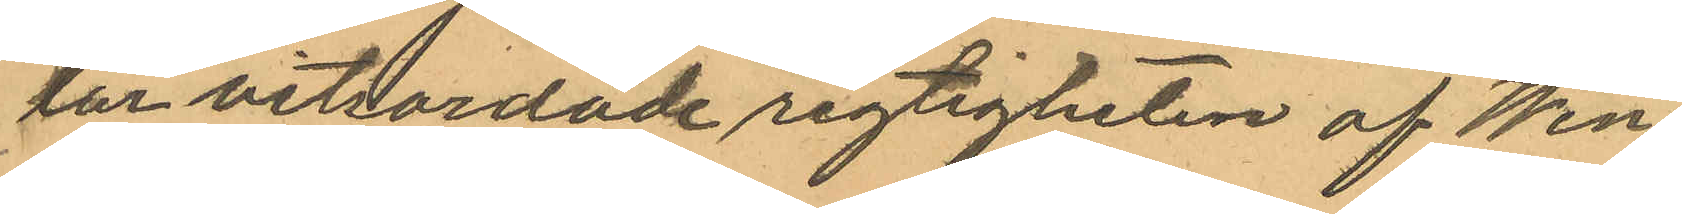lar vitsordade rigtigheten af Wen¬
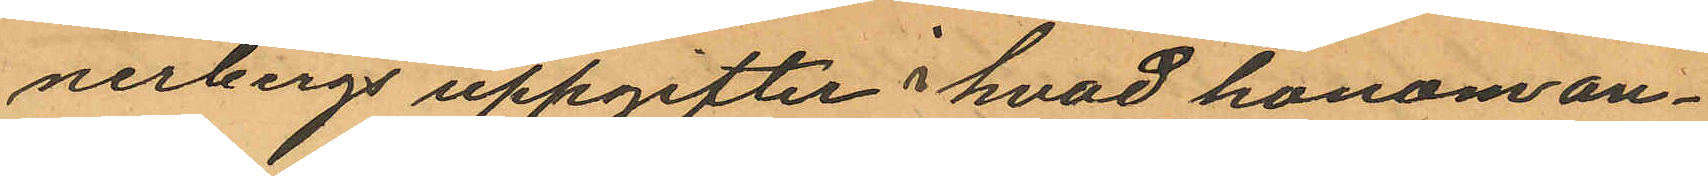nerbergs uppgifter i hvad honom an¬
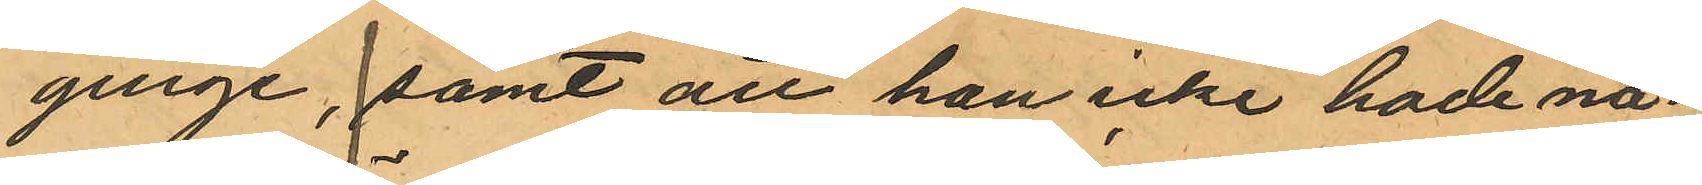ginge, samt att han icke hade nå¬
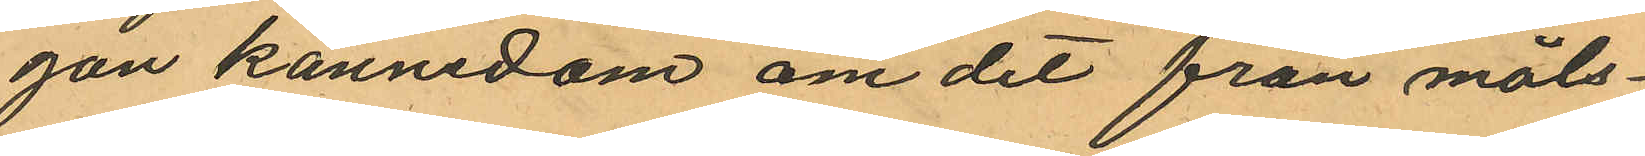gon kännedom om det från måls¬
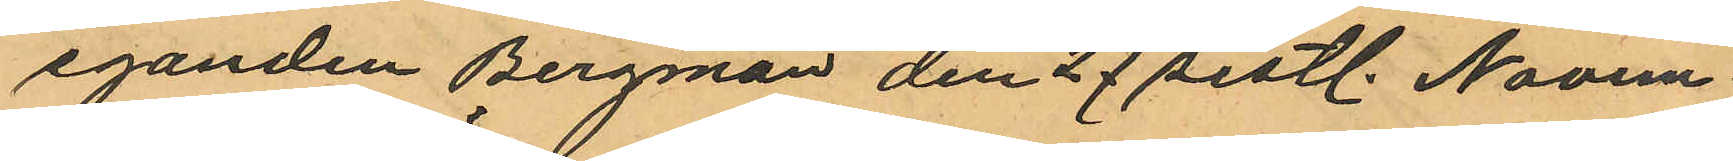eganden Bergman den 27 sistl. Novem
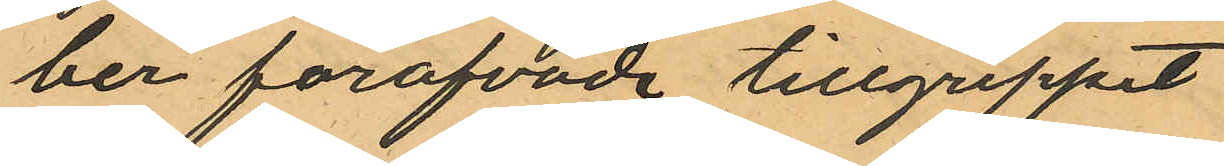ber föröfvade tillgreppet
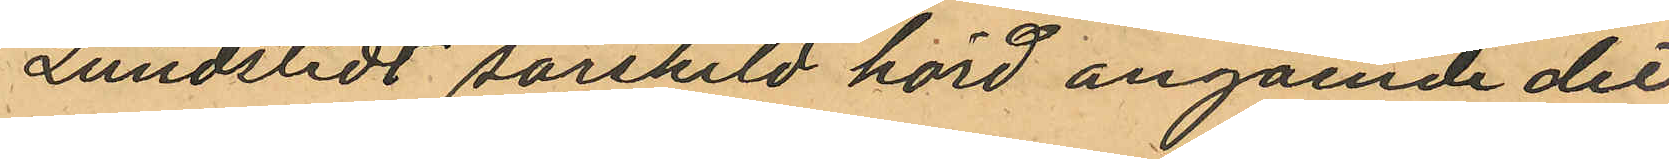Lundstedt särskild hörd angående det
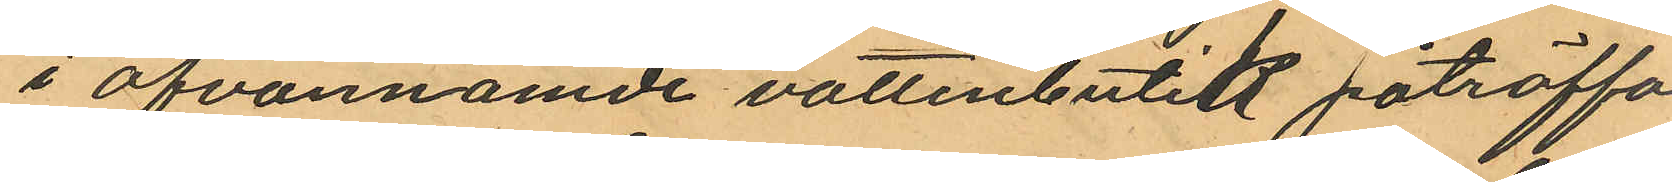i ofvannämde vattenbutik påträffa¬
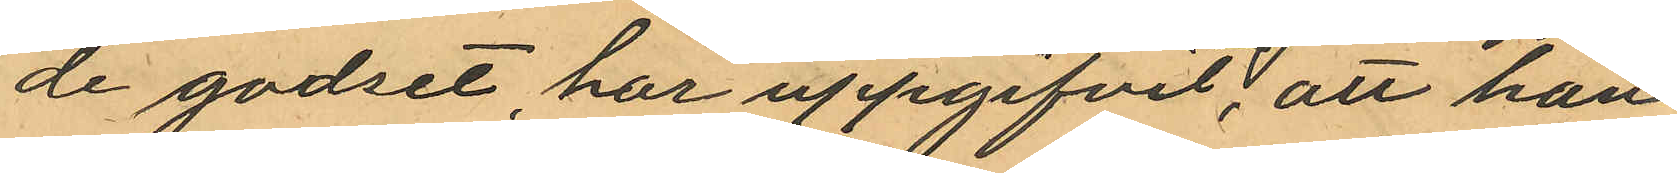de godset, har uppgifvit; att han
